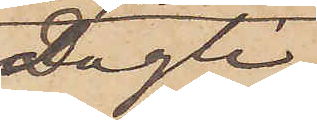Dagli¬
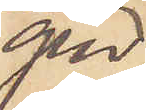gen
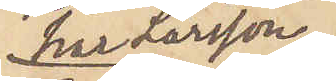har Larsson
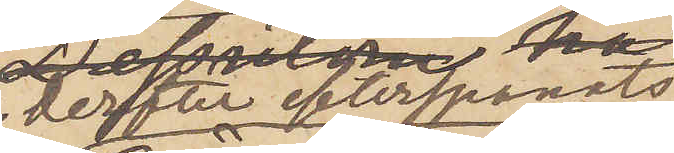 derefter efterspanats
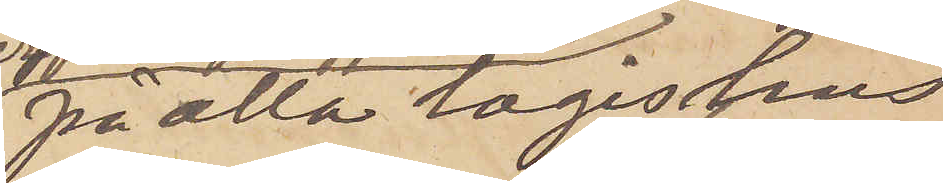på alla logishus
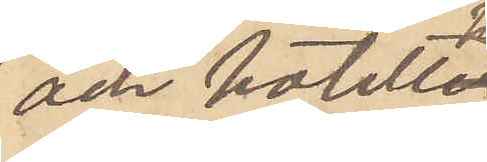och hotell
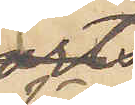här
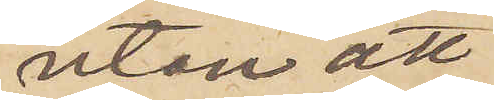utan att
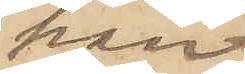han
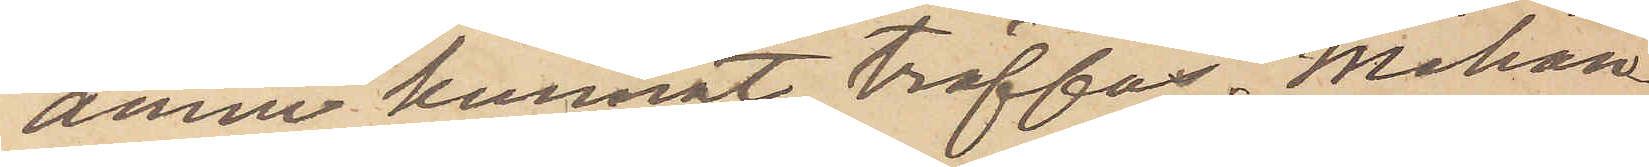ännu kunnat träffas. Måhän¬
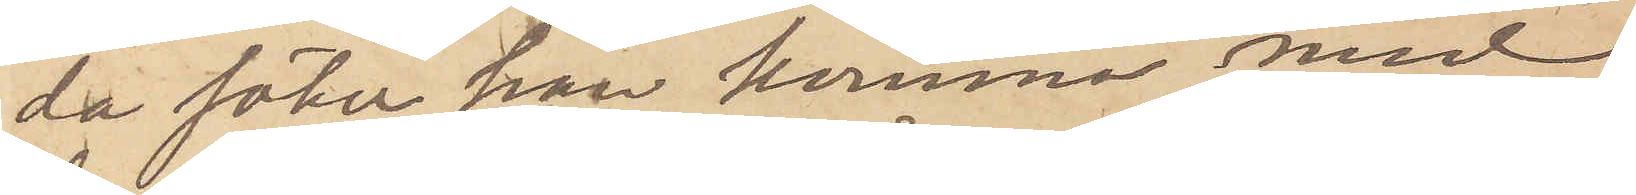da söker han komma med
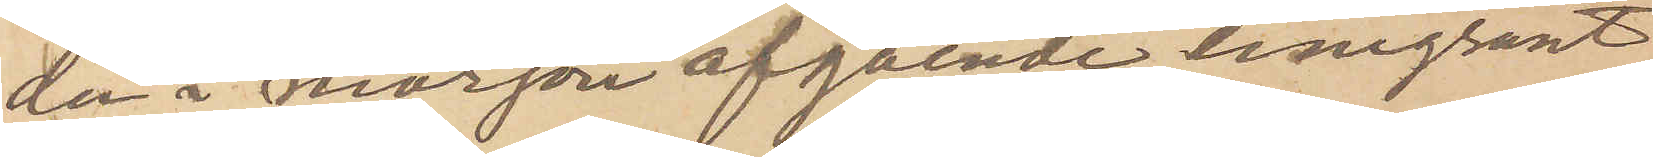den i morgon afgående emgrant¬
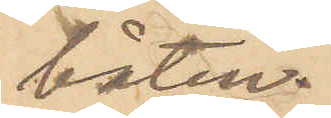båten.
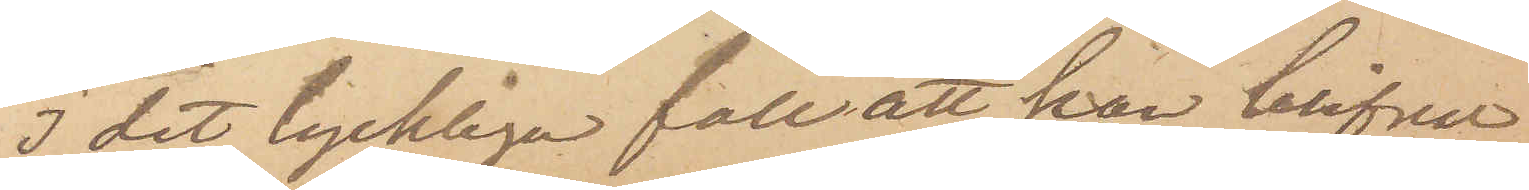I det lyckliga fall att han blifvit
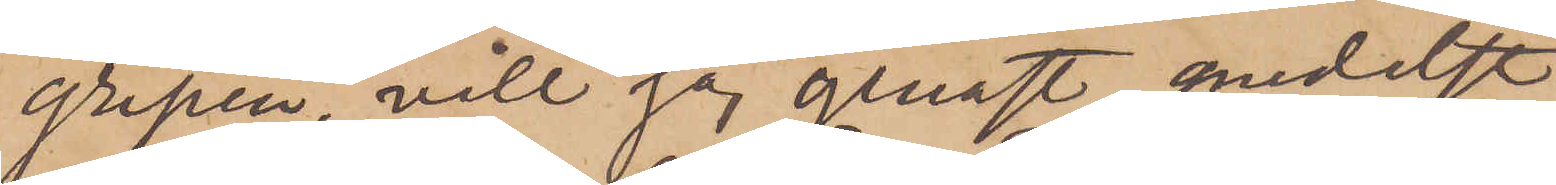gripen, vill jag genast medelst
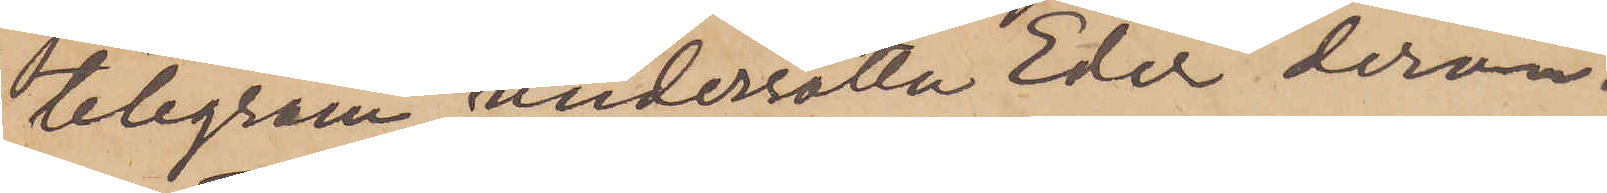telegram underrätta Eder derom.
